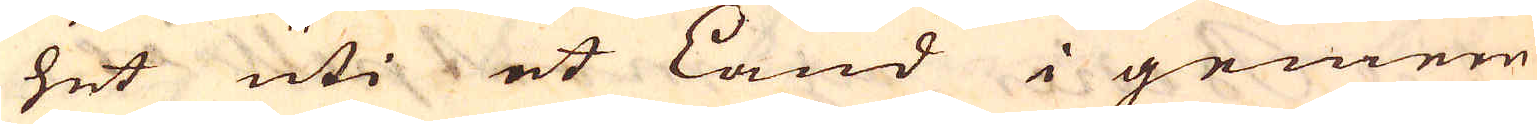het uti et Land i gemen
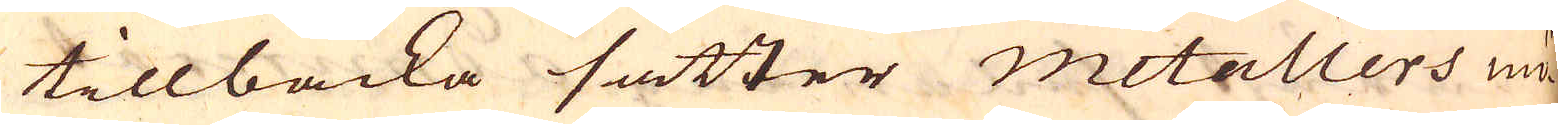tillbacka sätter metallers mö-
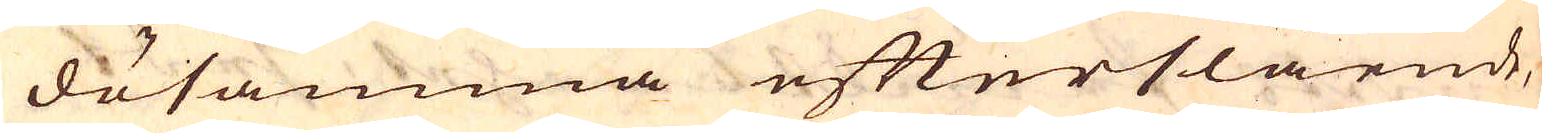dosamma efterslående,
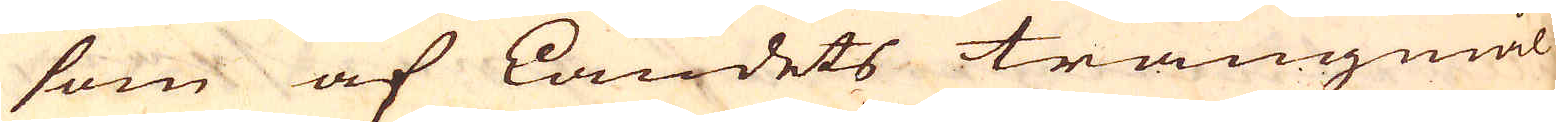som af Landets trångmål
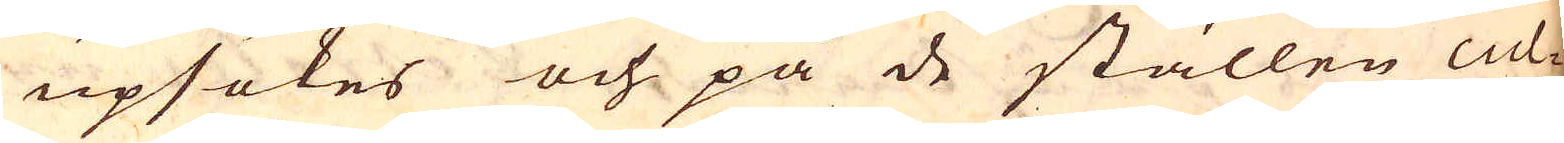upsökes och på de ställen cul-
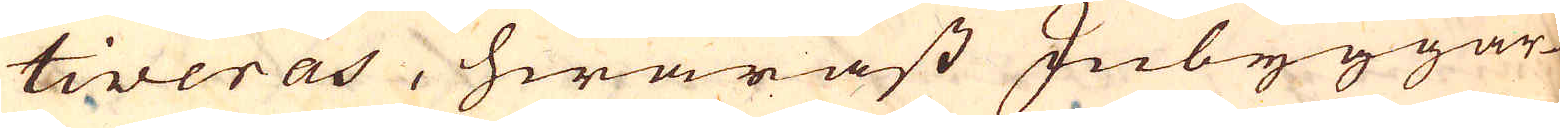tiveras, hwaräst Inbyggar-
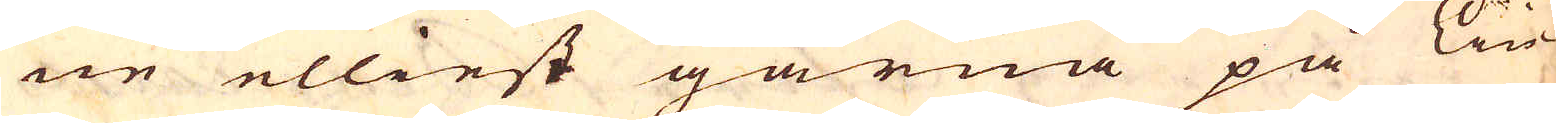ne elliest gärna på Lin-
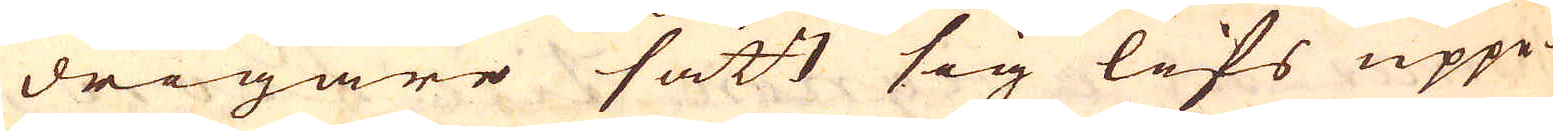drigare sätt sig lifs uppe-
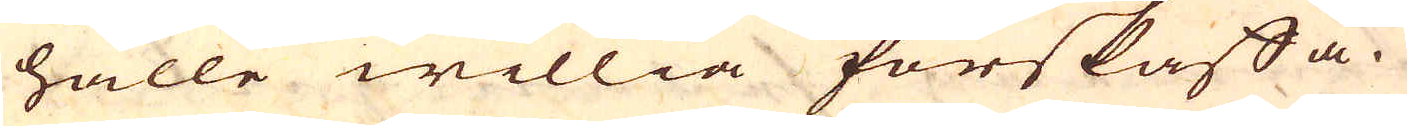hålle willia förskaffa.
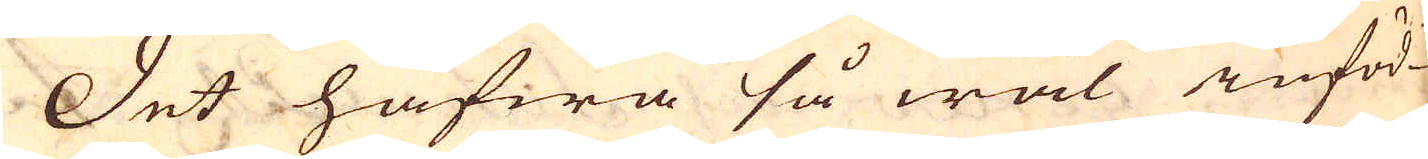Det hafwa så wäl inföd-
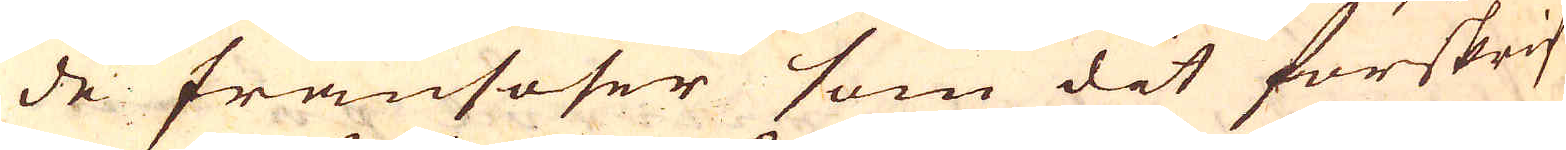de fransoser som dit förskrif-
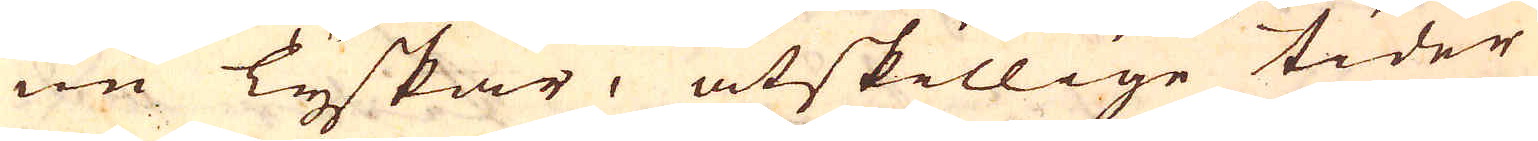ne Tyskar, åtskillige tider
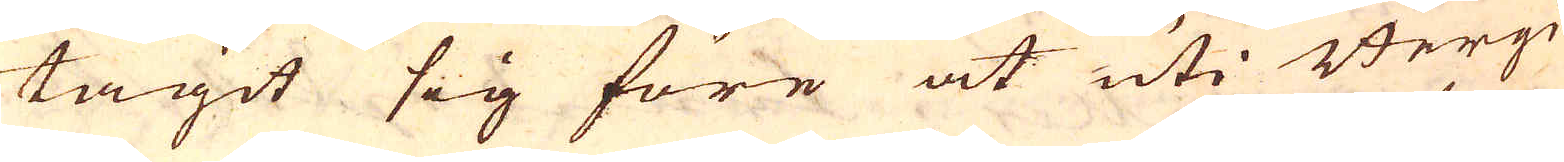tagit sig före at uti Bergi-
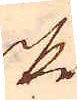ske
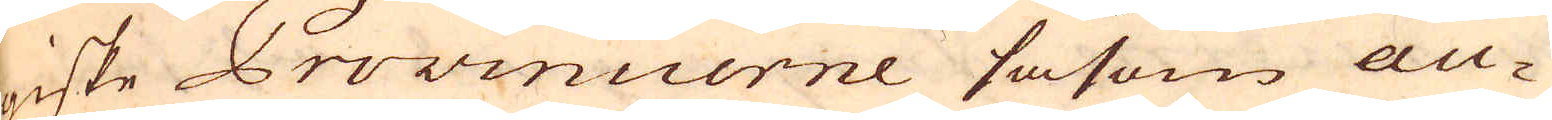niske Provinuerne såsom au-
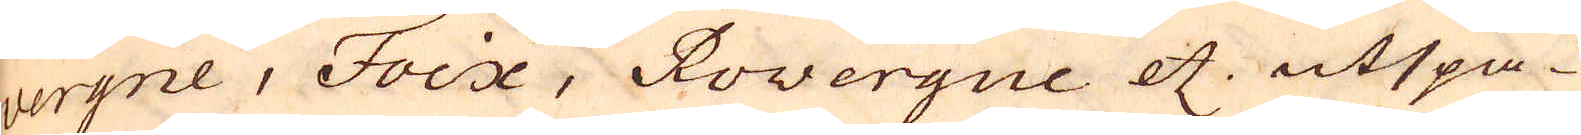vergne, Foix, Rovergue etc. utspa-
